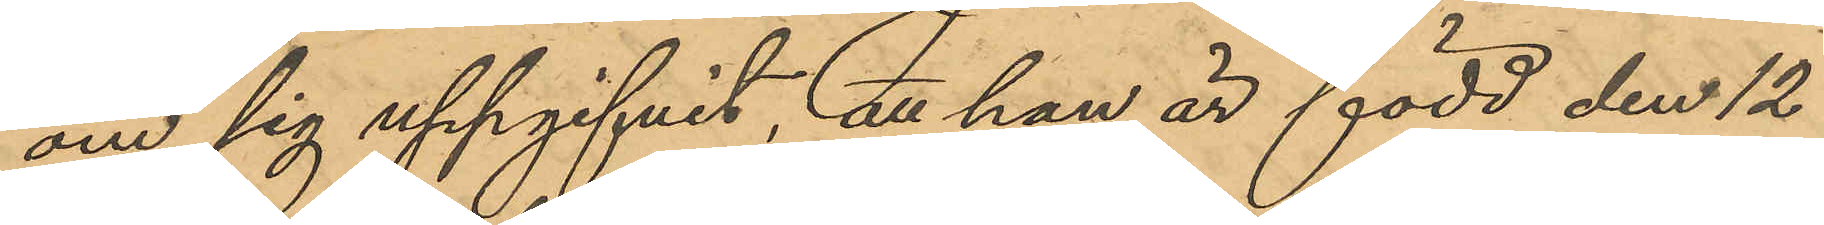om sig uppgifvit, att han är född den 12
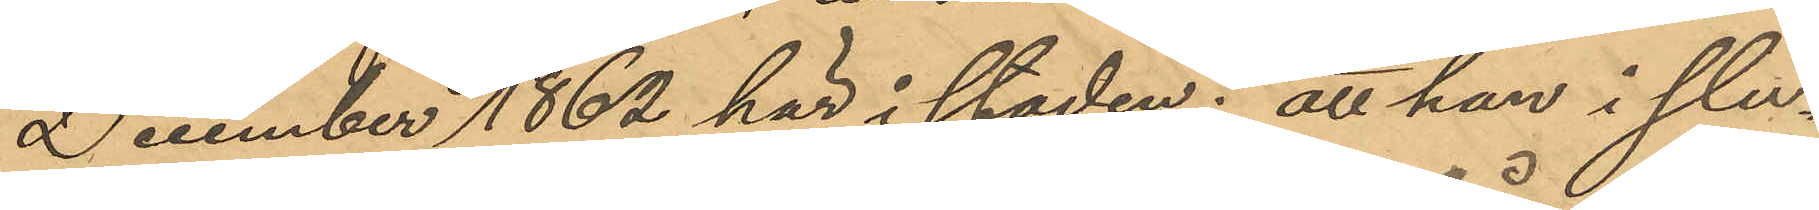December 1862 här i staden; att han i slu¬
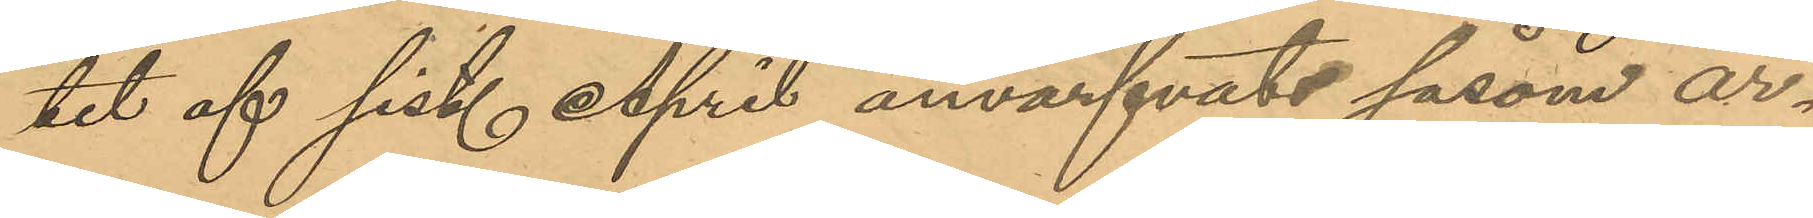tet af sist. April anvärfvats såsom ar¬
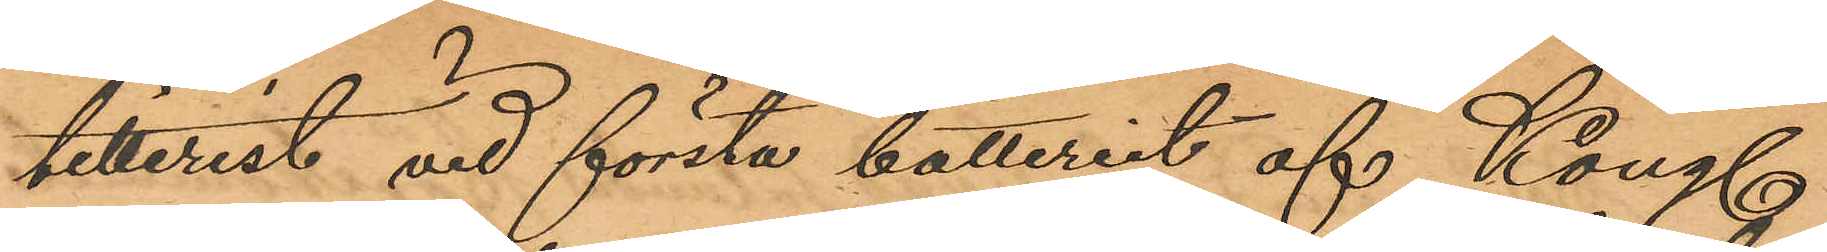tillerist vid första batteriet af Kongl.
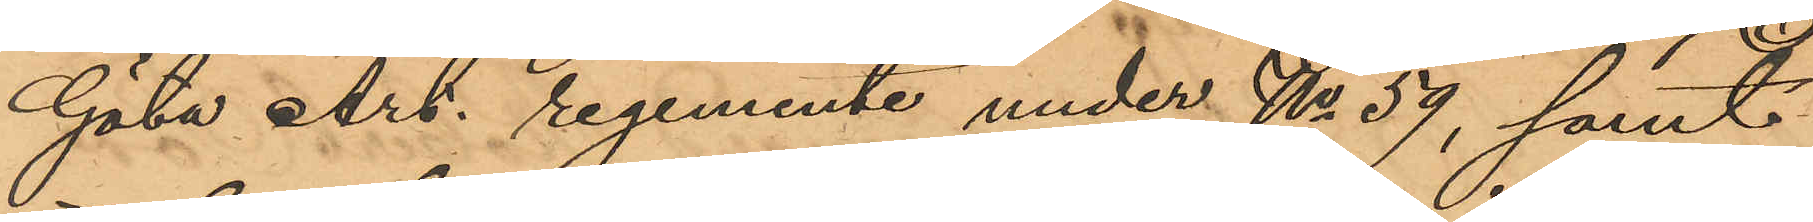Göta Art. regemente under No 59, samt
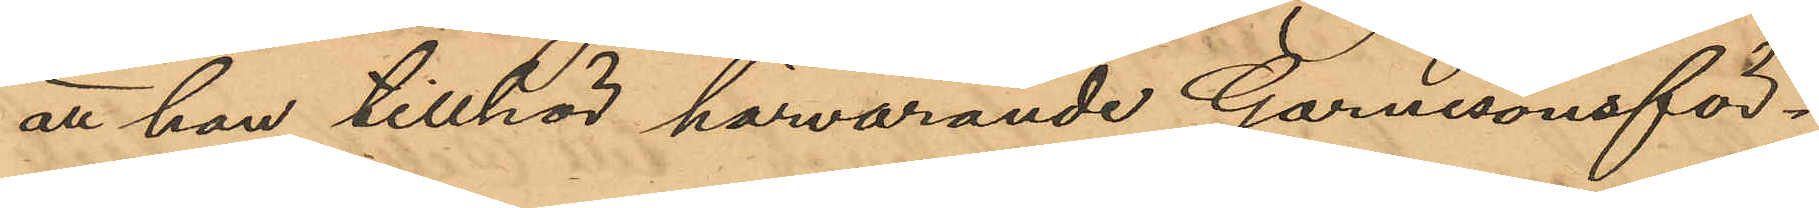att han tillhör härvarande Garnisonsför¬
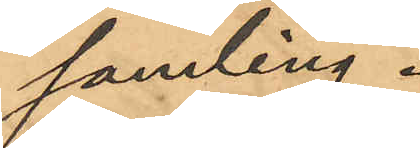samling.
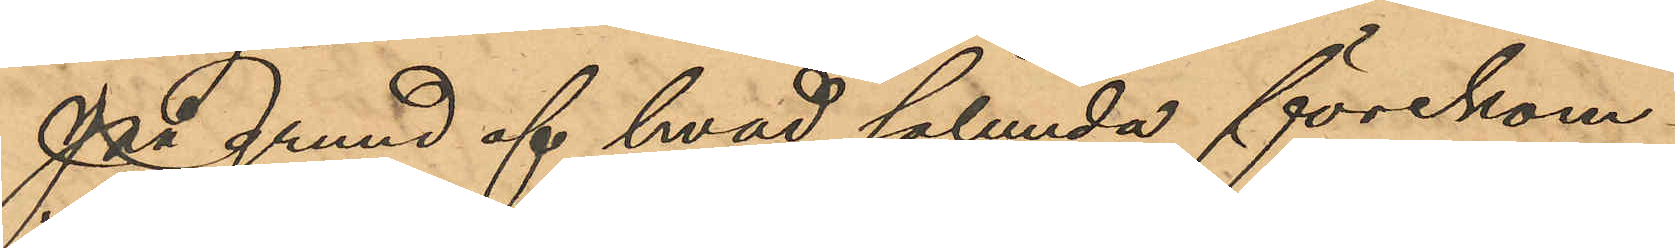På grund af hvad sålunda förekom¬
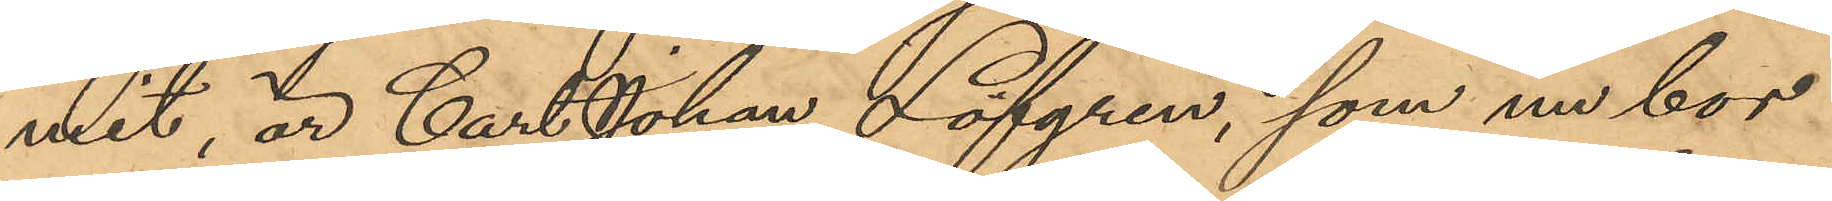met är Carl Johan Löfgren, som nu bor
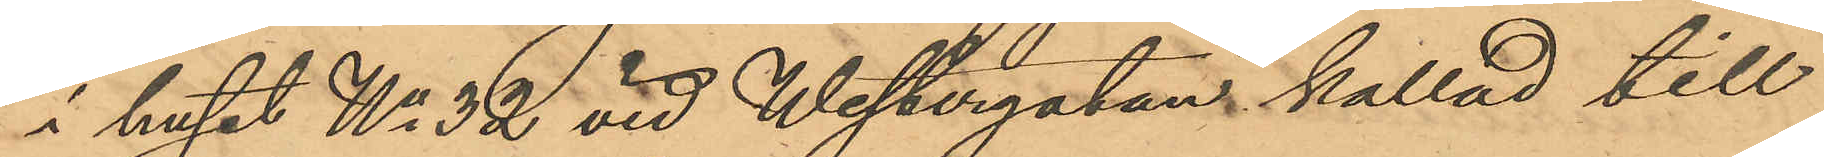i huset No 32 vid Westergatan kallad till
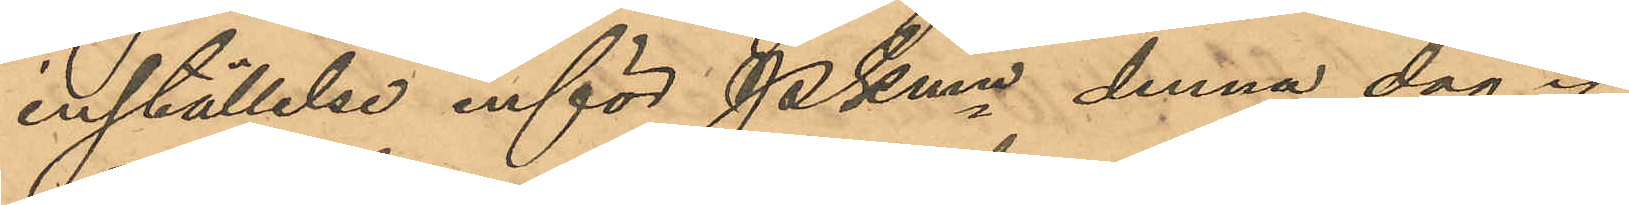inställelse inför PKmn denna dag.
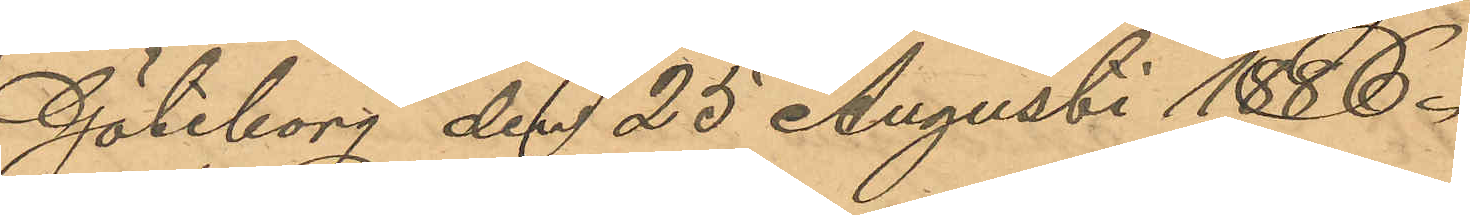Göteborg den 25 Augusti 1888.
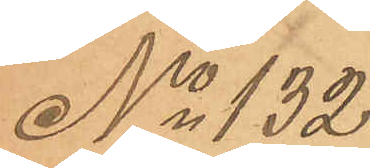No 132
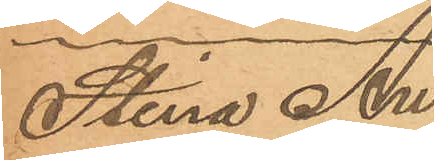Stina An¬
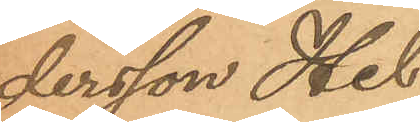dersson Hel¬
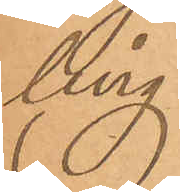ling
